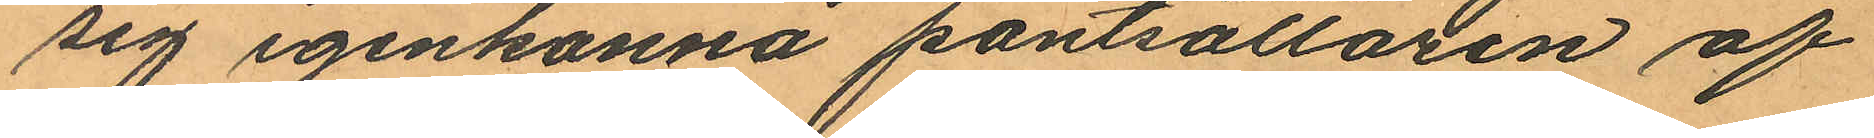sig igenkänna pantsättaren af
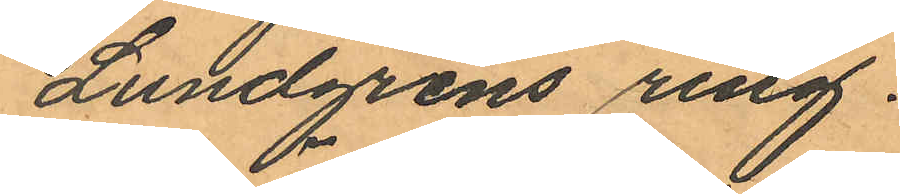Lundgrens ring.
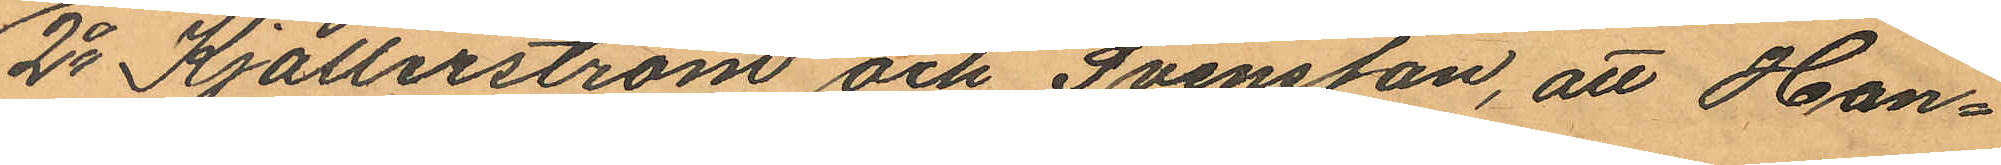2o Kjällerström och Svensson, att Han¬
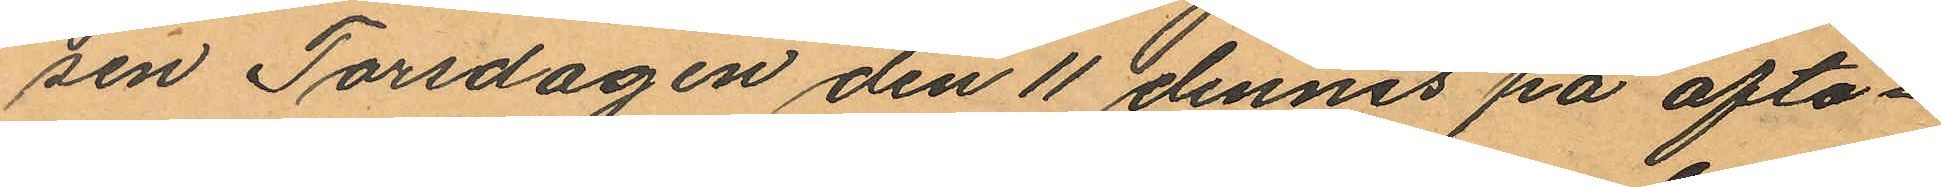sen Torsdagen den 11 dennes på afto¬
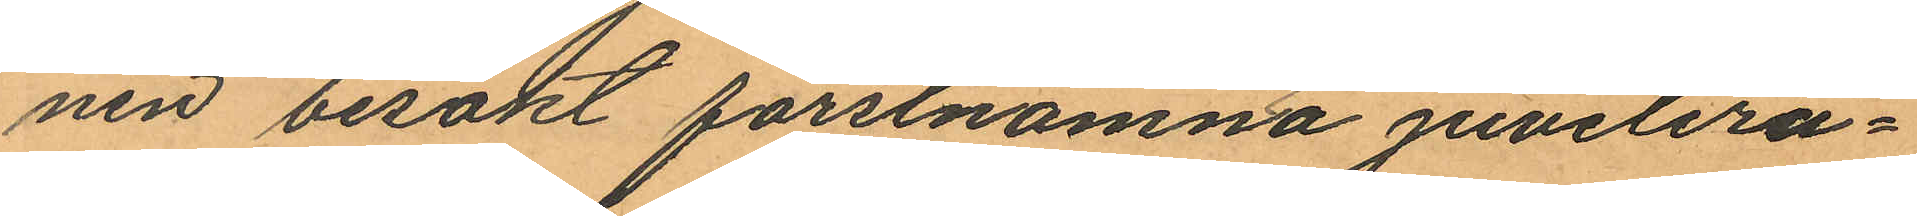nen besökt förstnämnda juvelera¬
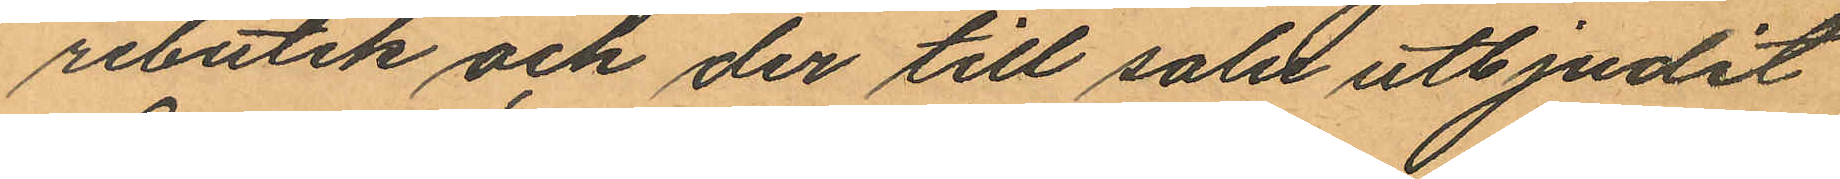rebutik och der till salu utbjudit
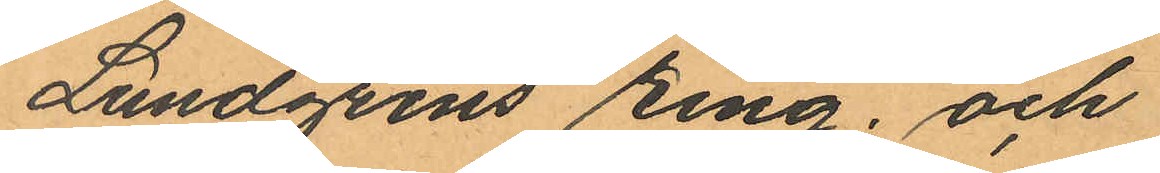Lundgrens ring; och
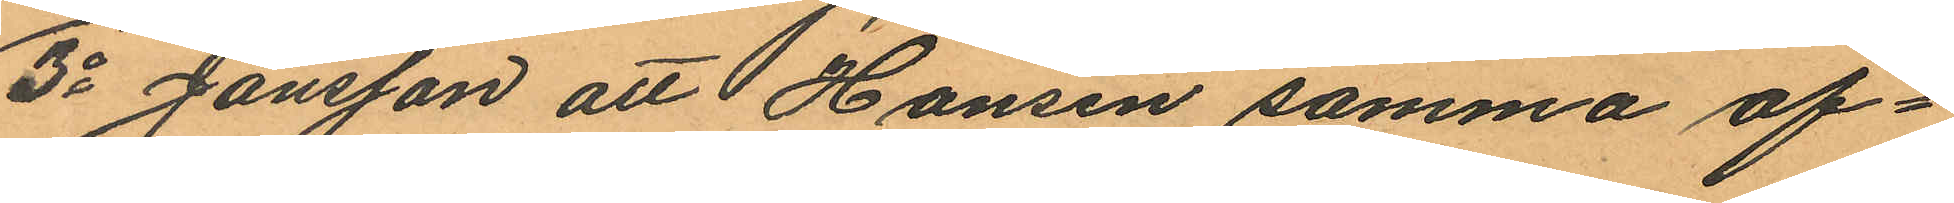3o Jansson att Hansen samma af¬
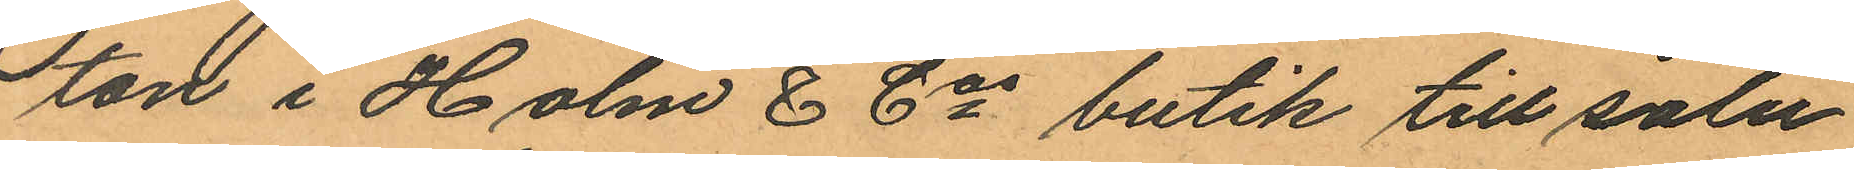ton i Holm & Cos butik till salu
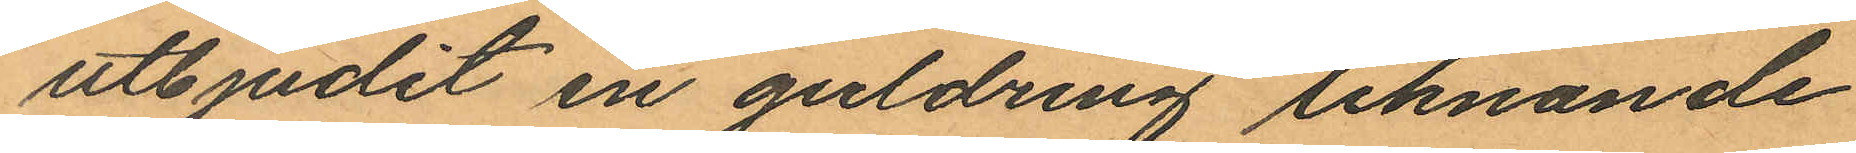utbjudit en guldring liknande
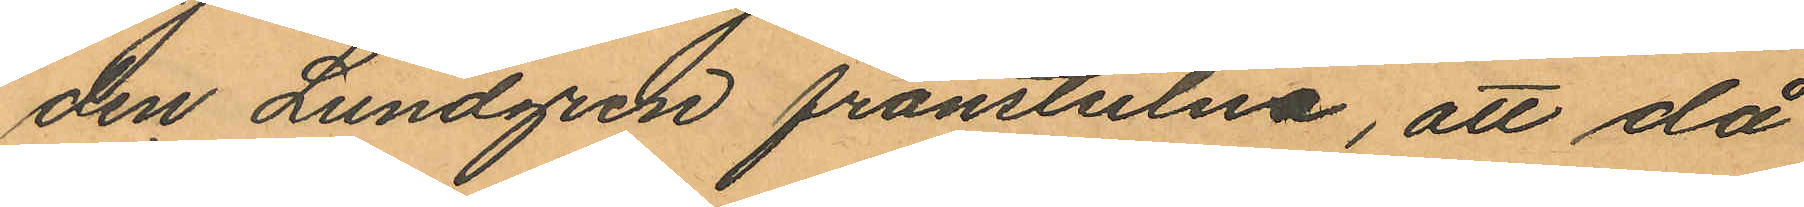den Lundgren frånstulna, att då
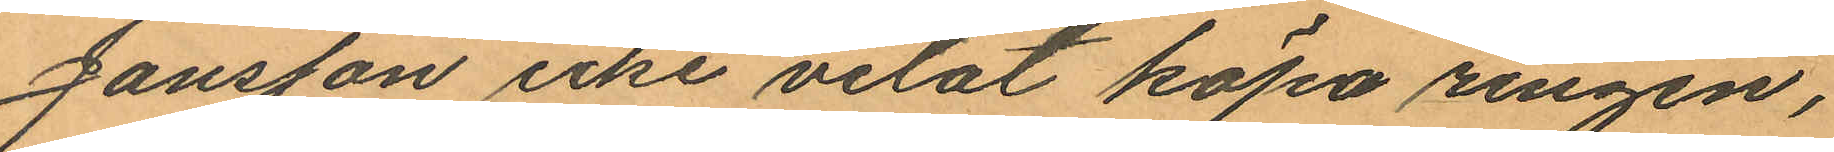Jansson icke vetat köpa ringen,
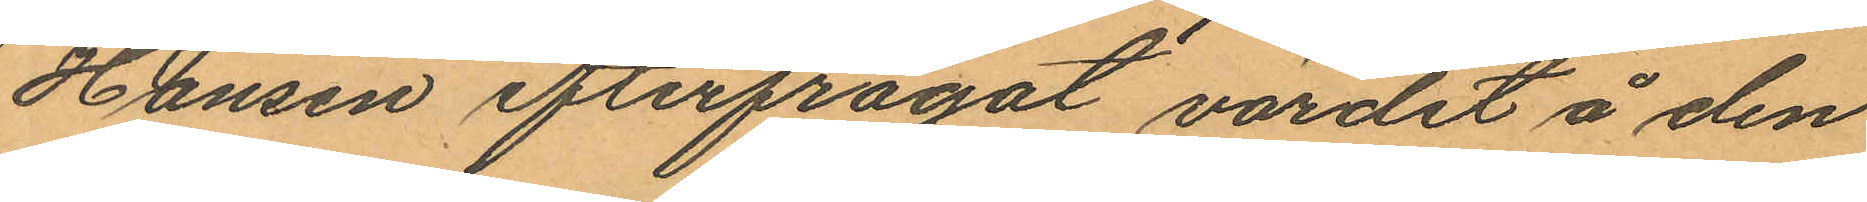Hansen efterfrågat värdet å den
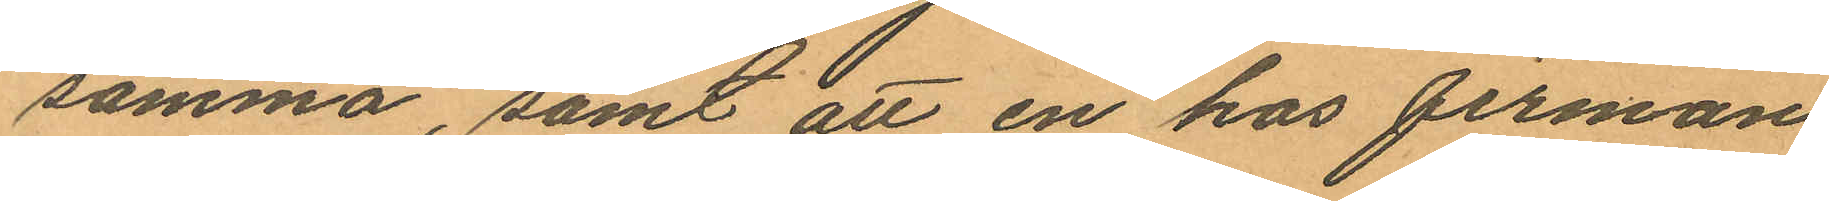samma, samt att en hos firman
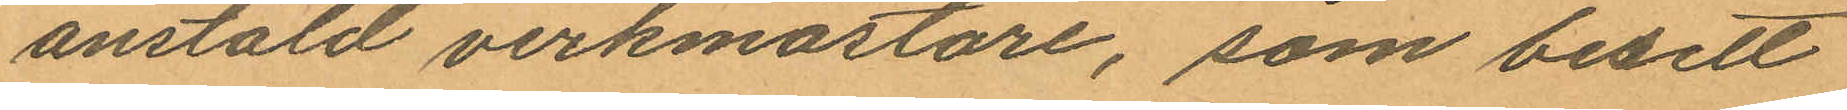anstäld verkmästare, som besett
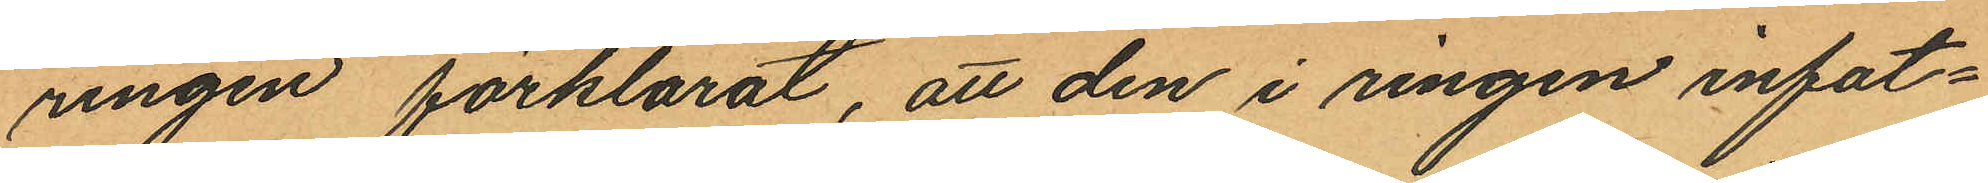ringen förklarat, att den i ringen infat¬
